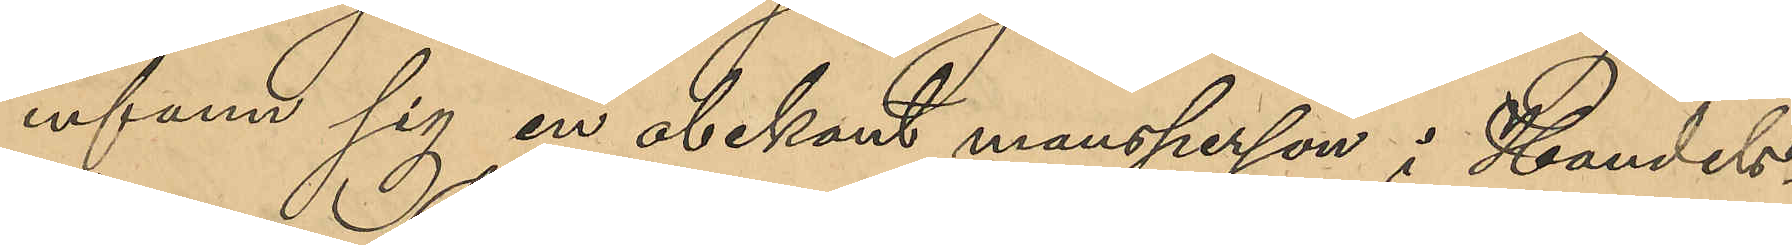infann sig en obekant mansperson i Handels¬
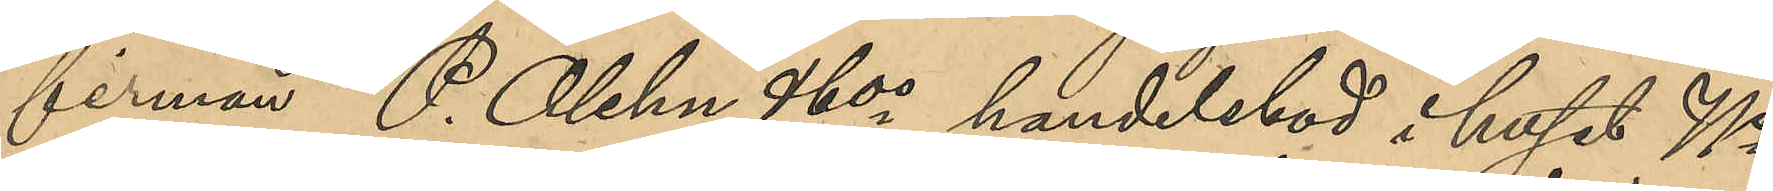firman P. Olehn & Cos handelsbod i huset No
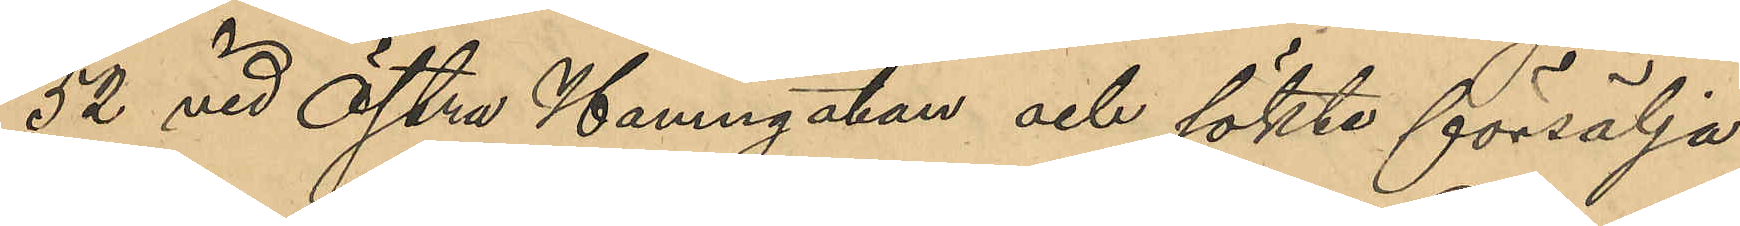52 vid Östra Hamngatan och sökte försälja
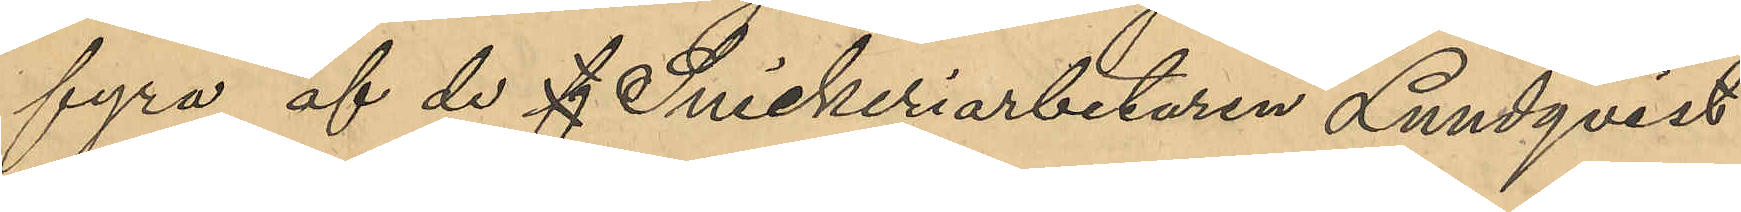fyra af de f Snickeriarbetaren Lundqvist
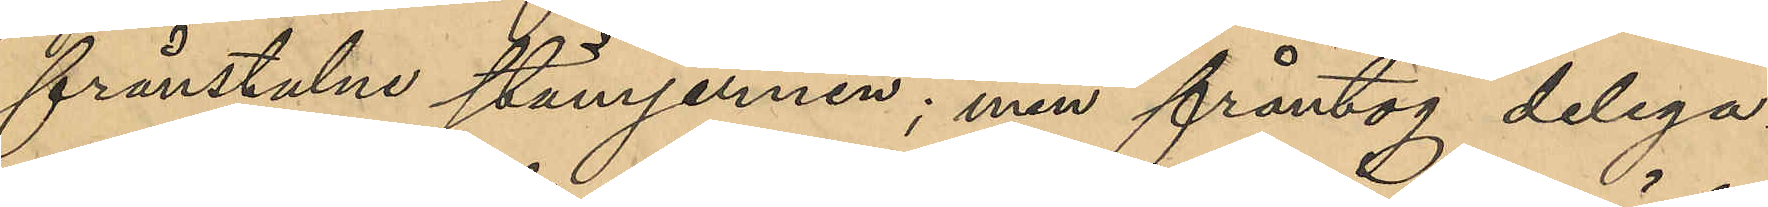frånstulne stämjernen ; men fråntog delega¬
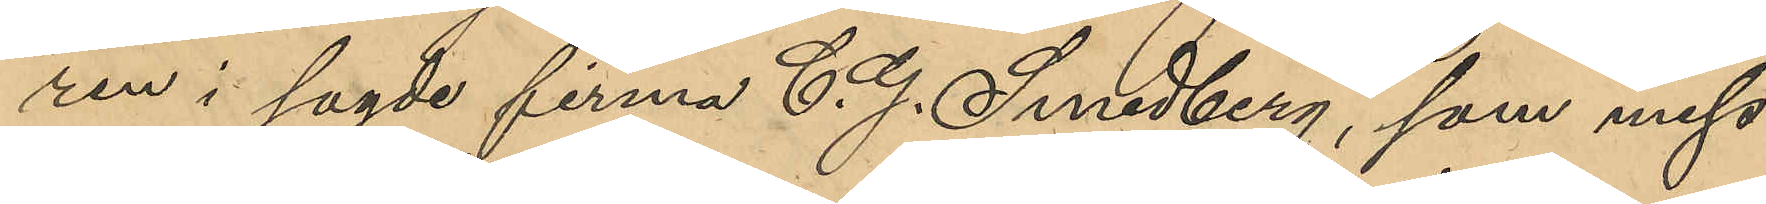ren i sagde firma C. G. Lindberg, som miss¬
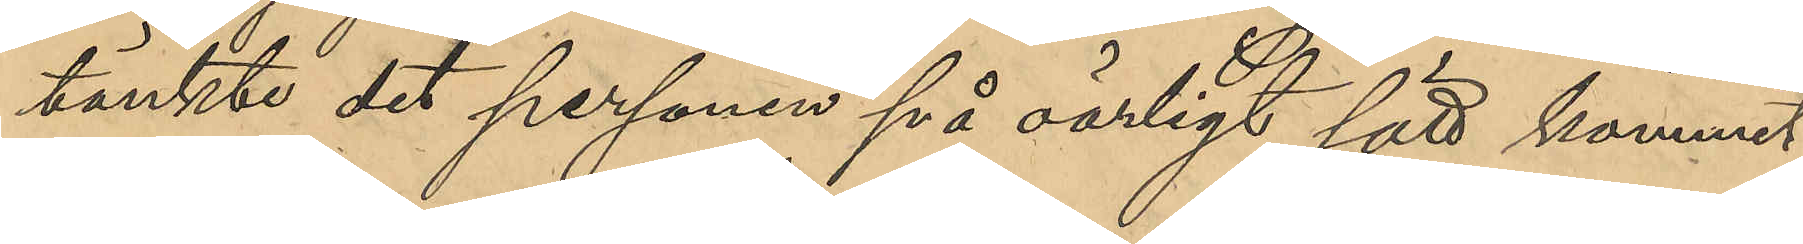tänkte det personen på oärligt sätt kommit
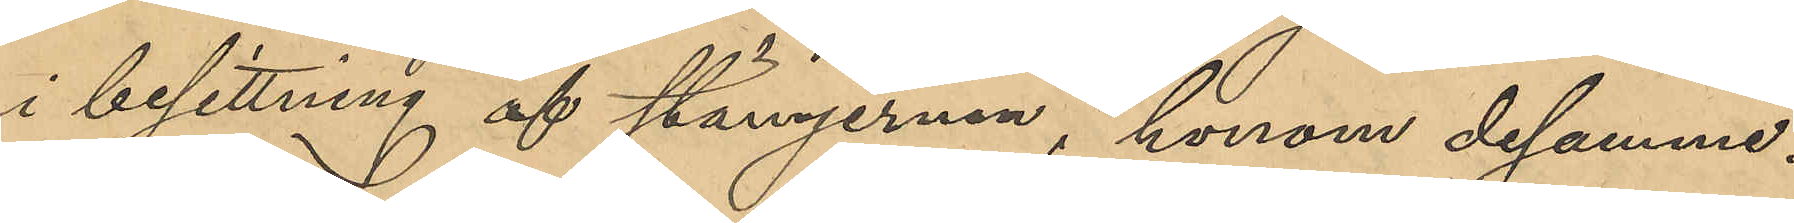i besittning af stämjernen, honom desamma.
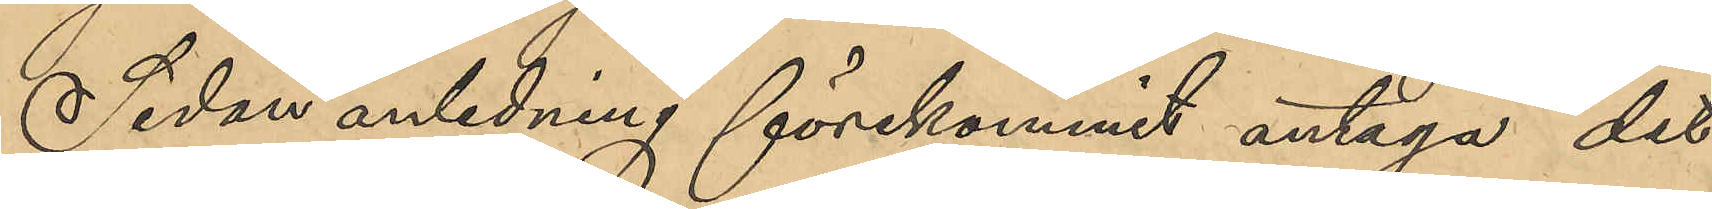Sedan anledning förekommit antaga det
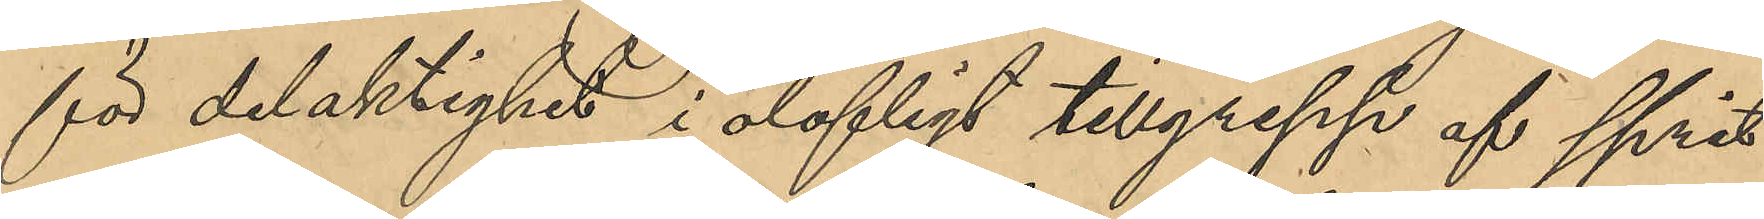för delaktighet i olofligt tillgrepp af sprit
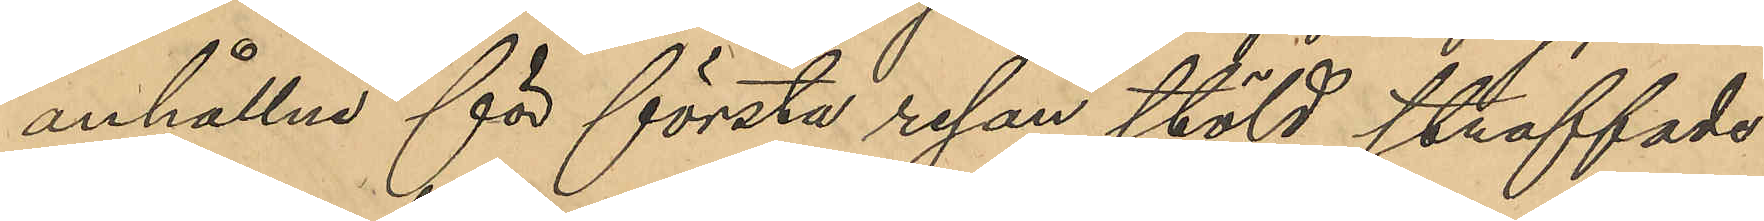anhållne för första resan stöld straffade
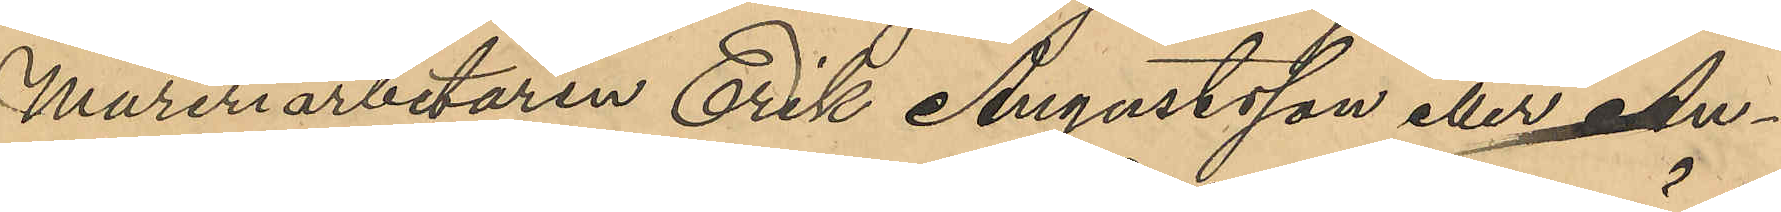Mureriarbetaren Erik Augustsson eller An¬
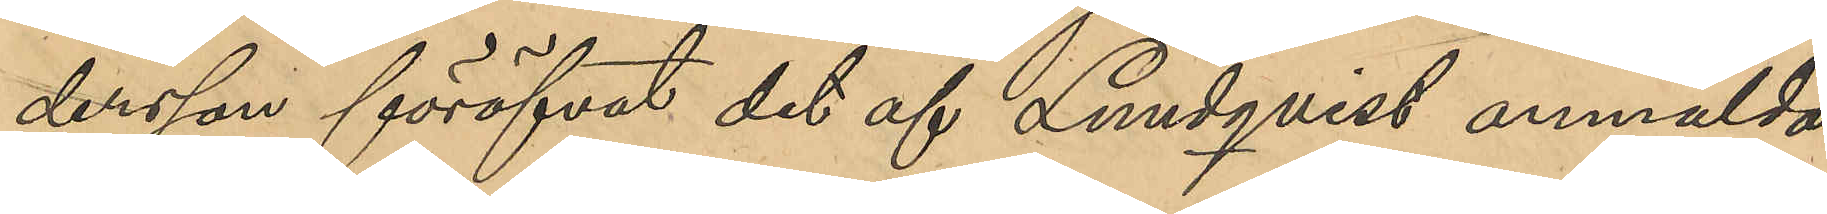dersson föröfvat det af Lundqvist anmälda
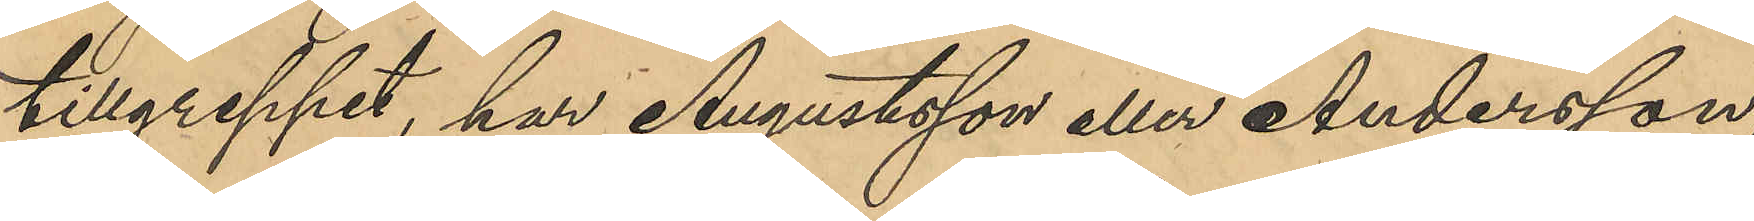tillgreppet, har Augustsson eller Andersson,
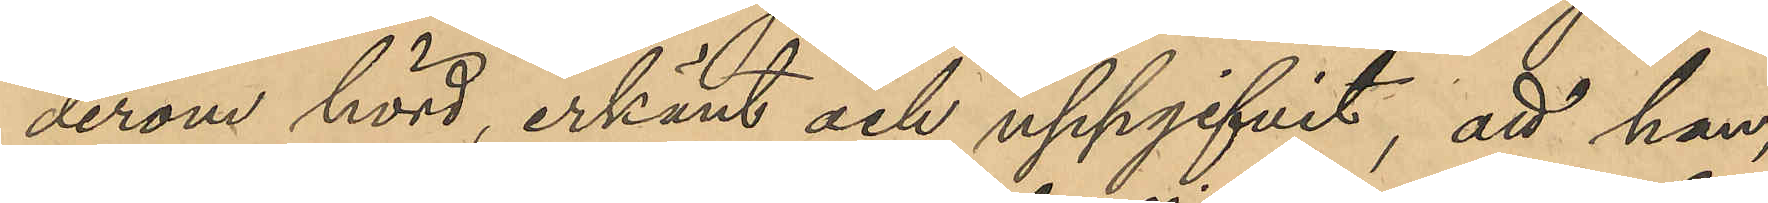derom hörd, erkänt och uppgifvit, att han,
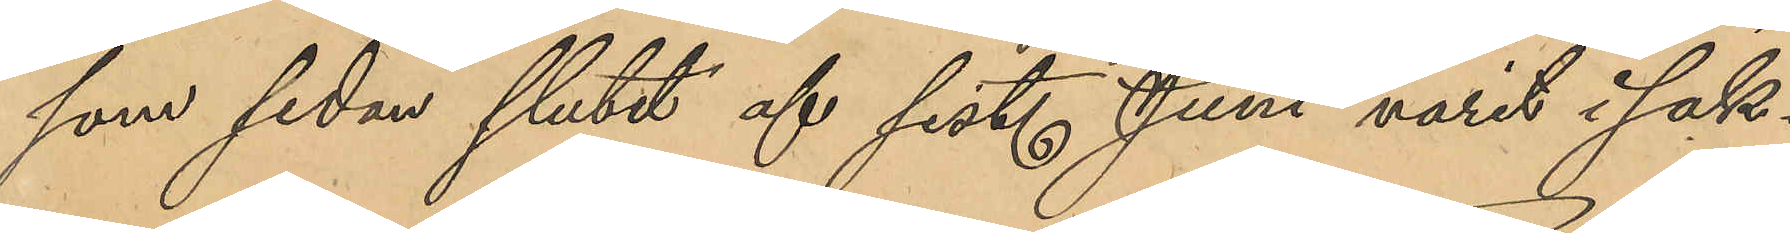som sedan slutet af sist. Juni varit i sak¬
